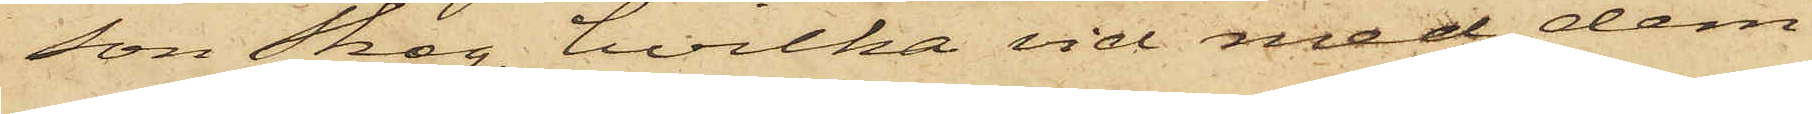son Skog, hvilka vid med dem
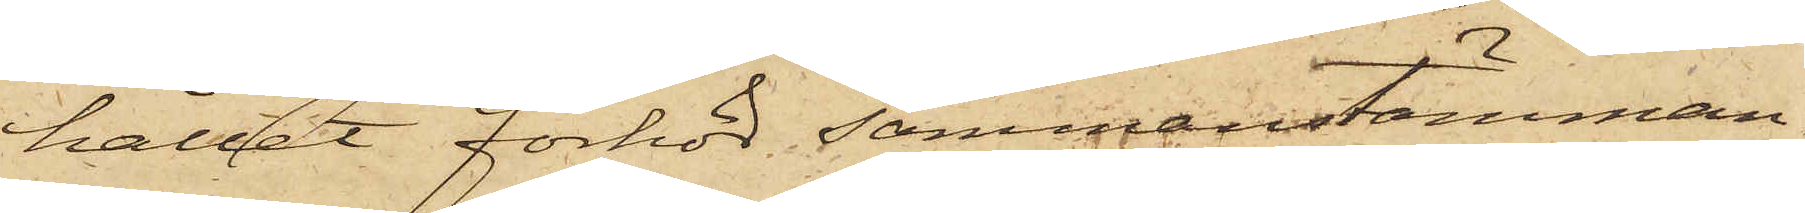hållet förhör sammanstämman¬
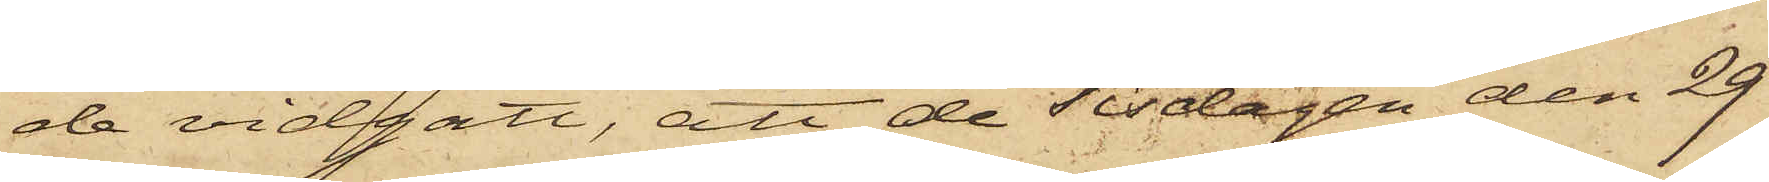de vidgått, att de Tisdagen den 29
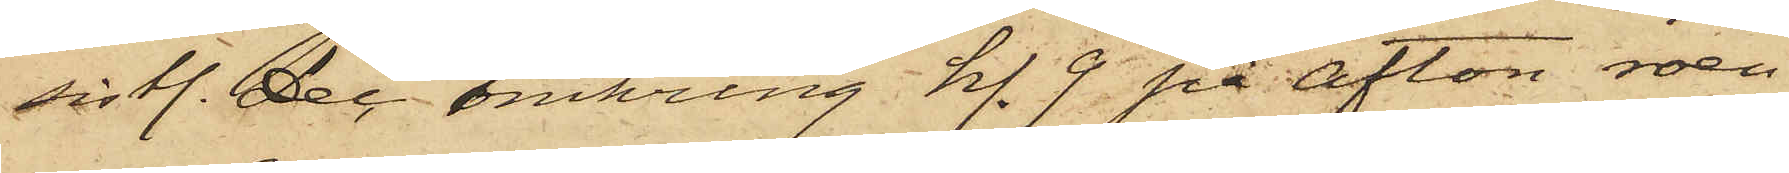sistl. Dec. omkring kl. 9 på afton roen¬
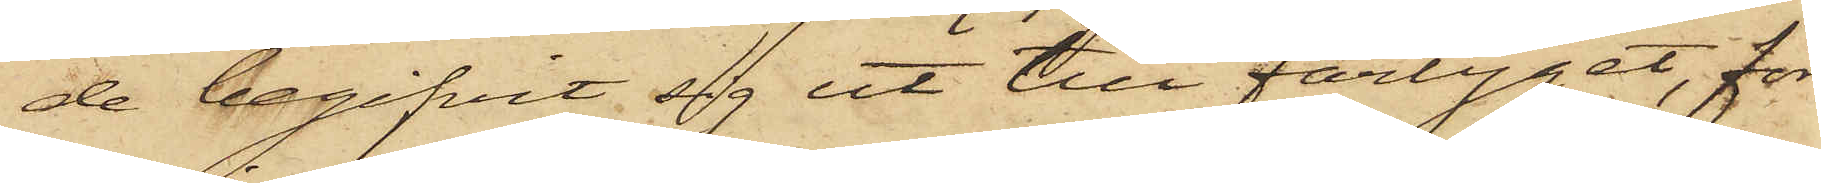de begifvit sig ut till fartyget, för
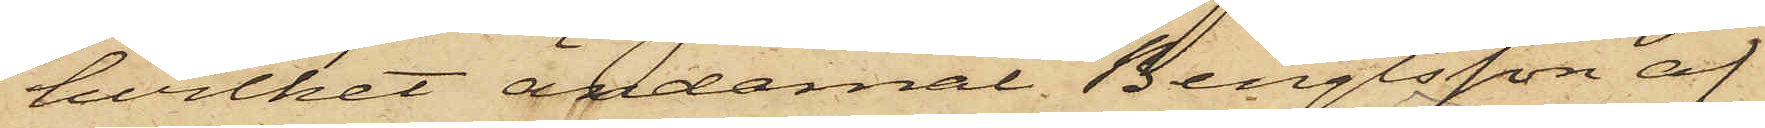hvilket ändamål Bengtsson af
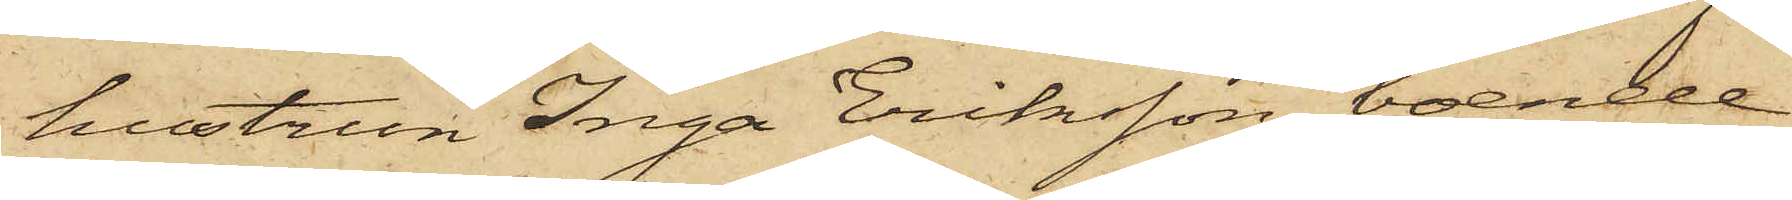hustrun Inga Eriksson, boende
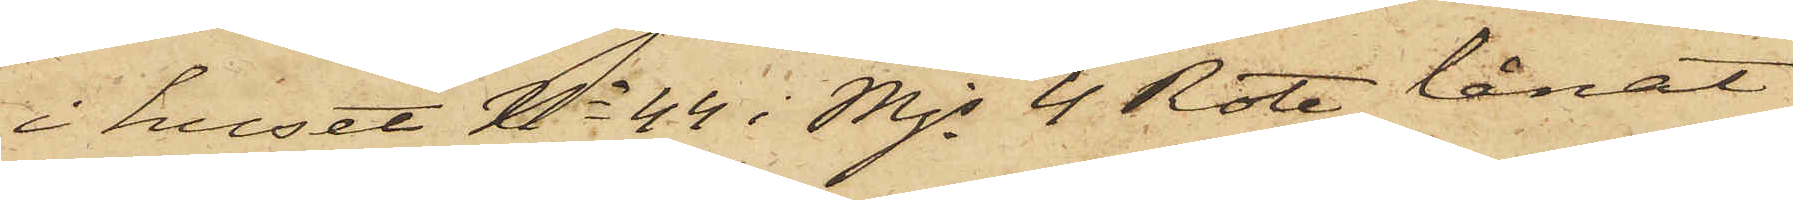i huset No 44 i Mjs 4 Rote, lånat
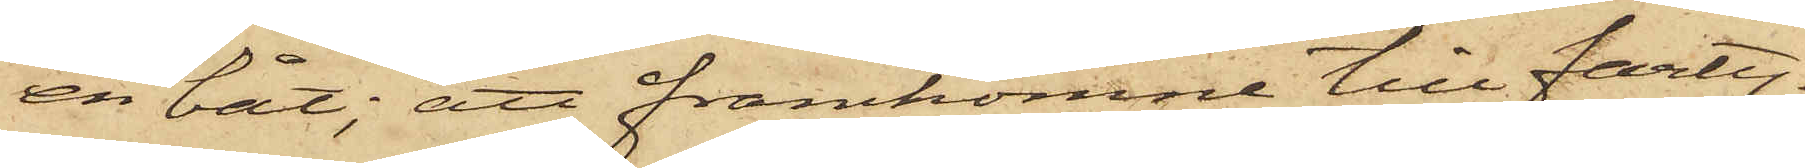en båt; att framkomne till farty¬
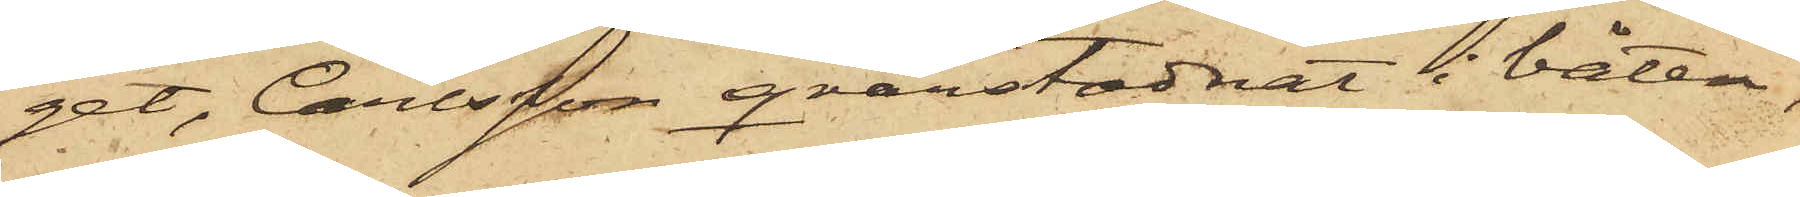get, Carlsson qvarstadnat i båten,
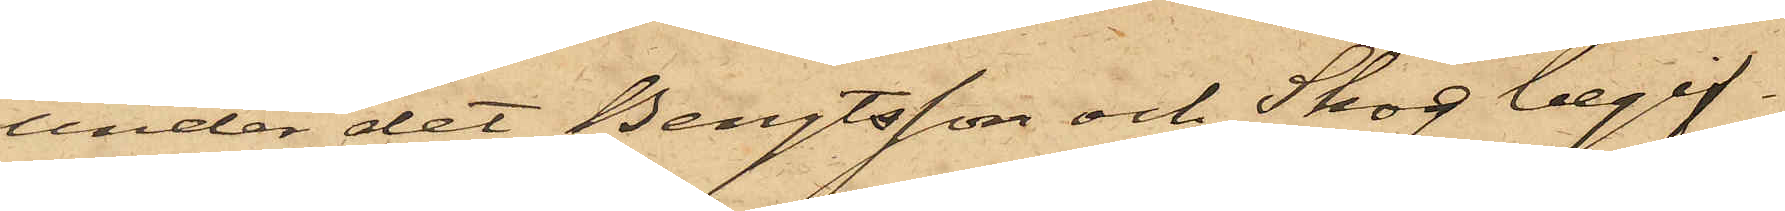under det Bengtsson och Skog begif¬
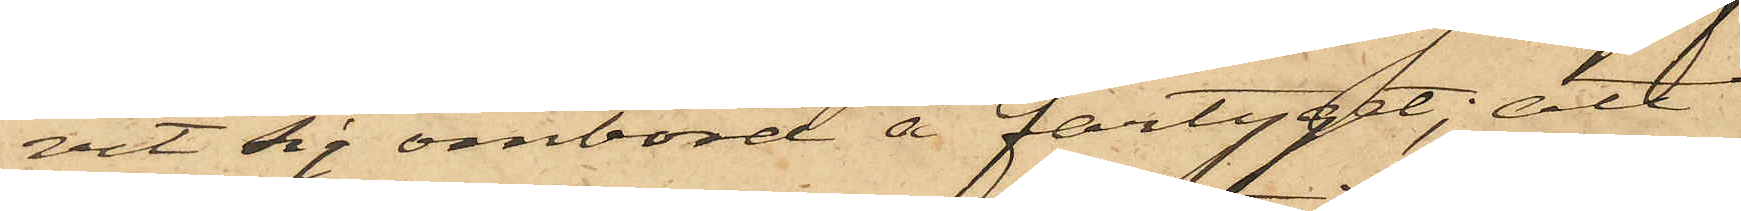vit sig ombord å fartyget; att
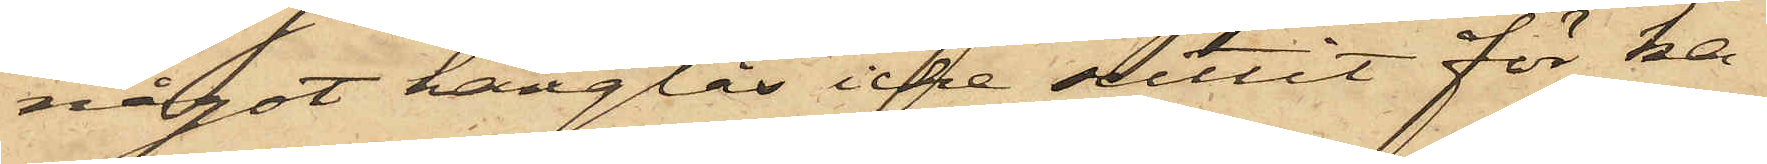något hänglås icke suttit för ka¬
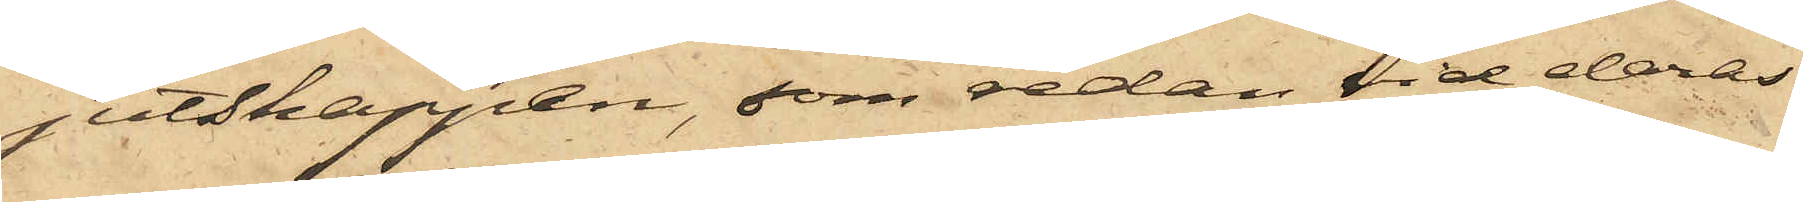jutskappen, som redan vid deras
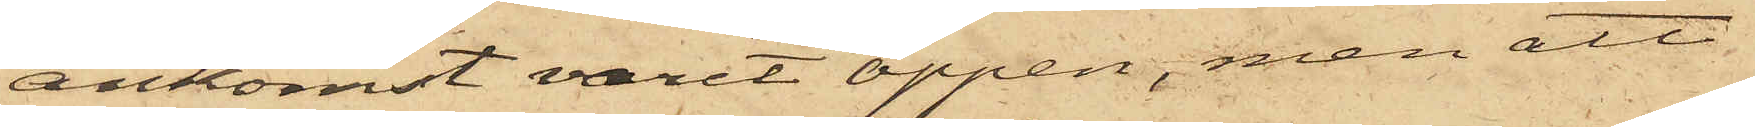ankomst varit öppen, men att
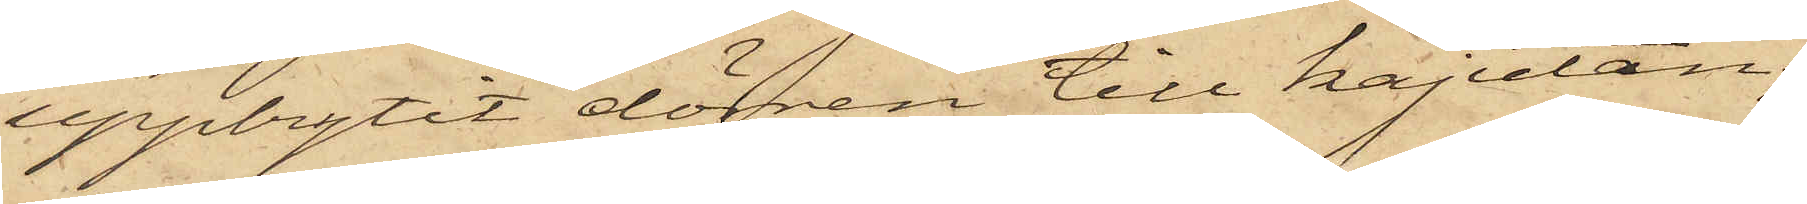uppbrytit dörren till kajutan;
